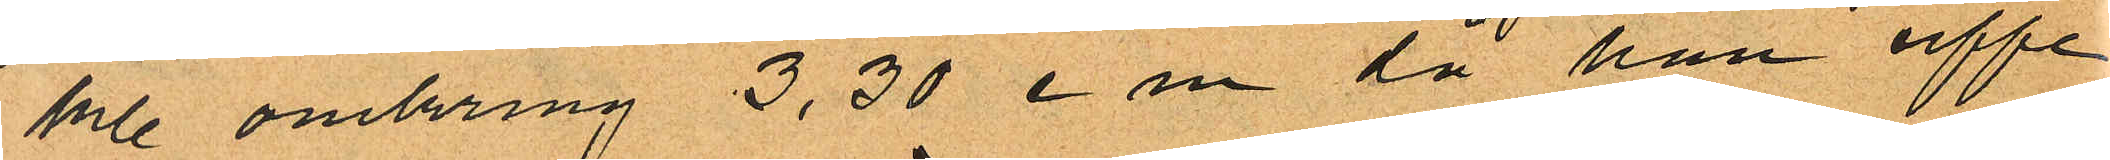kl. omkring 3,30 e m då han uppe
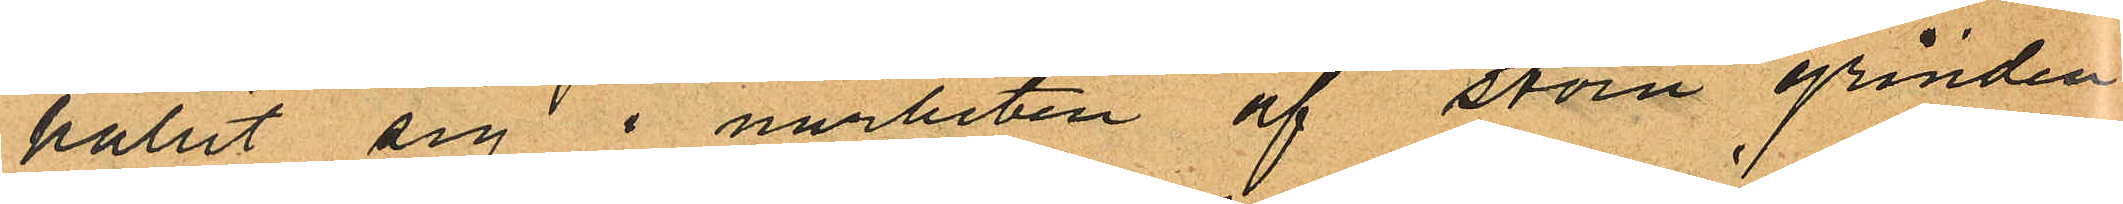hållit sig i närheten af stora grinden
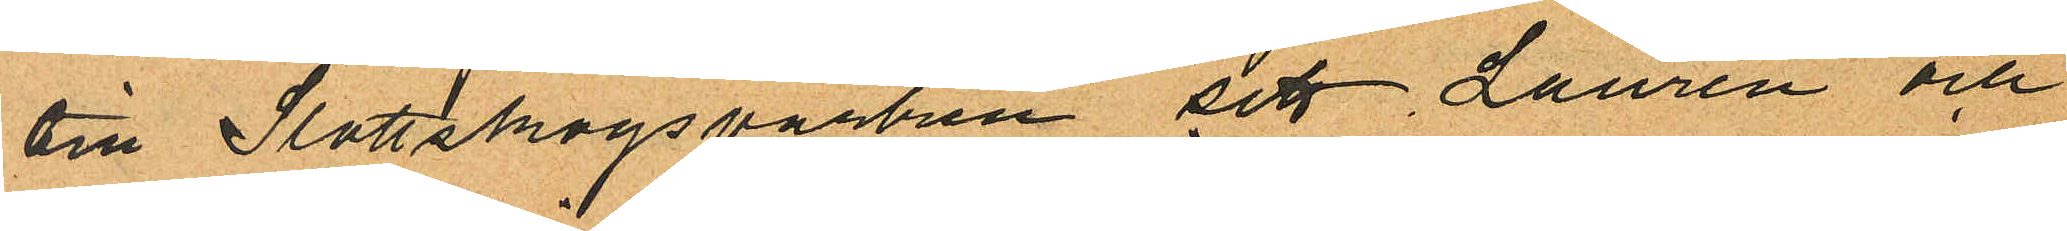oml Slottskogsparken sett Laurén och
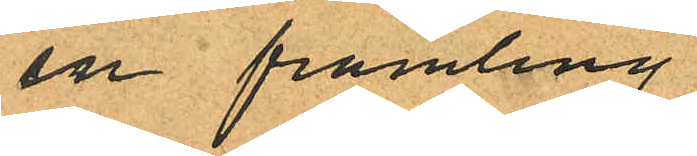en främling
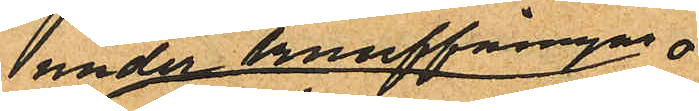under knuffningar
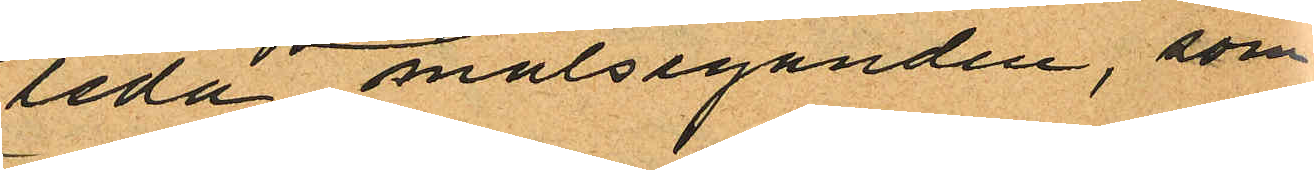leda målseganden, som
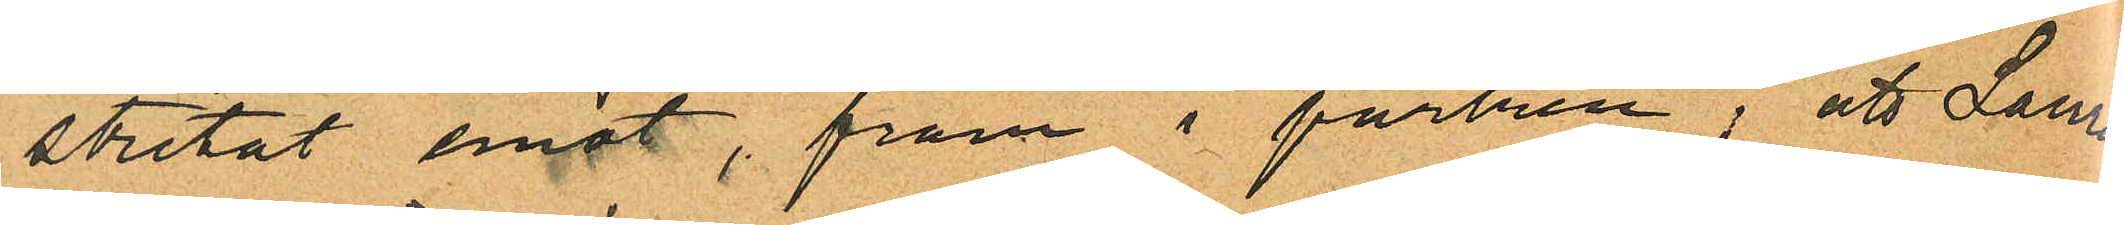stretat emot, fram i parken; att Laurén
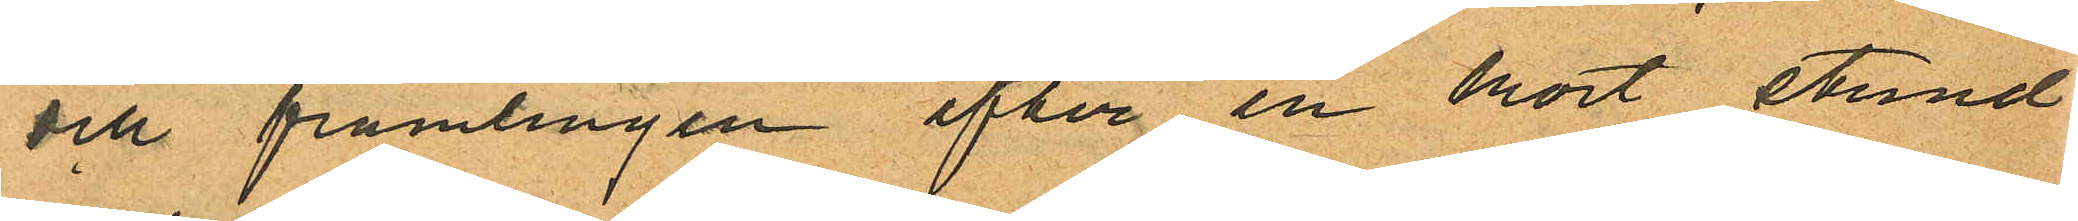och främlingen efter en kort stund
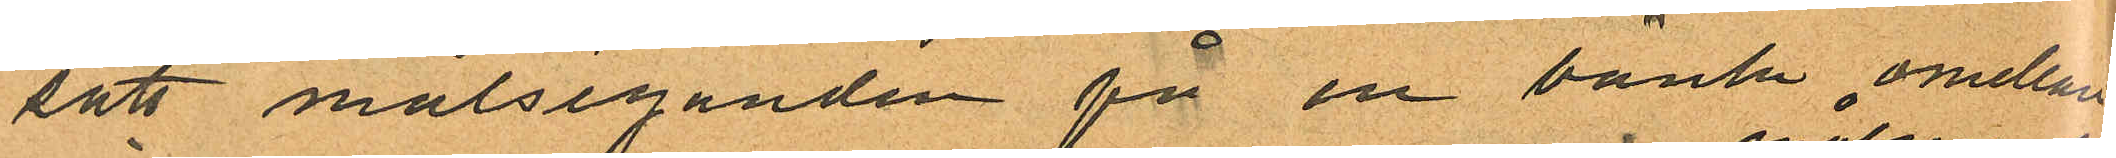satt målseganden på en bänk emellan
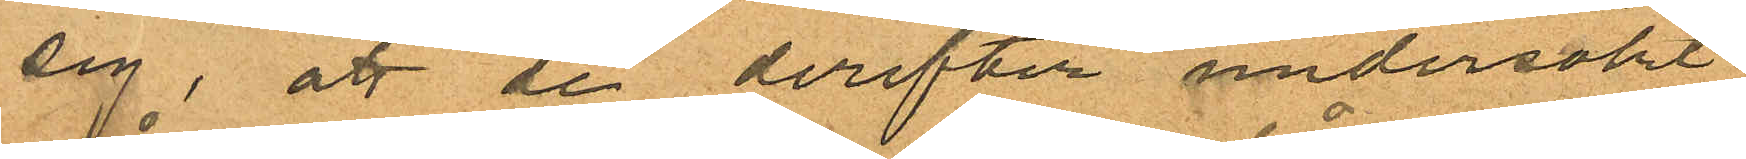sig, att de derefter undersökt
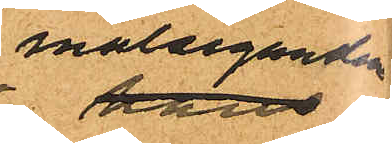målseganden
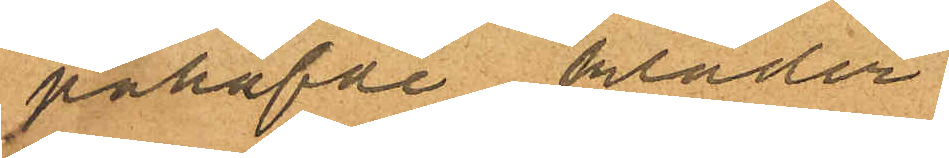påhafde kläder
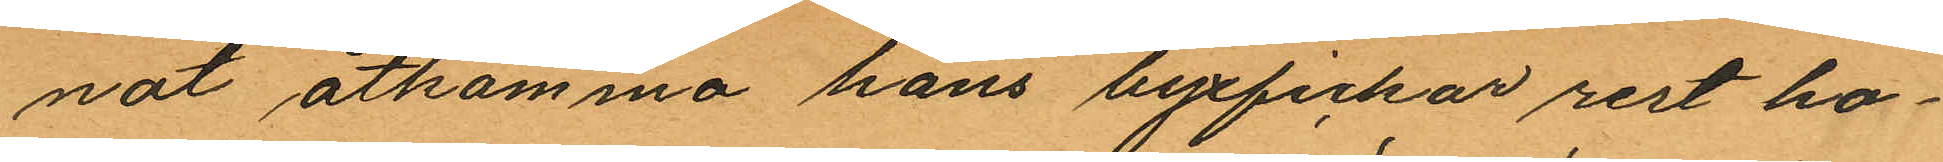nat åtkomma hans byxfickor rest ho¬
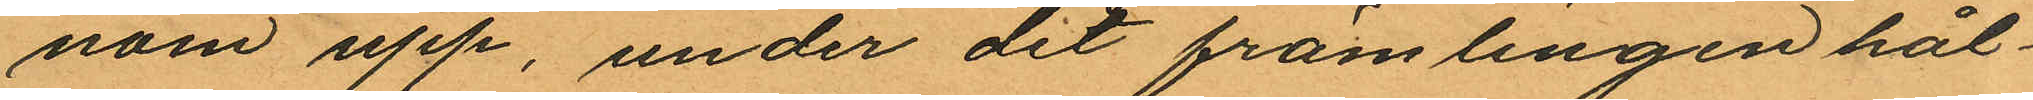nom upp, under det främlingen hål¬
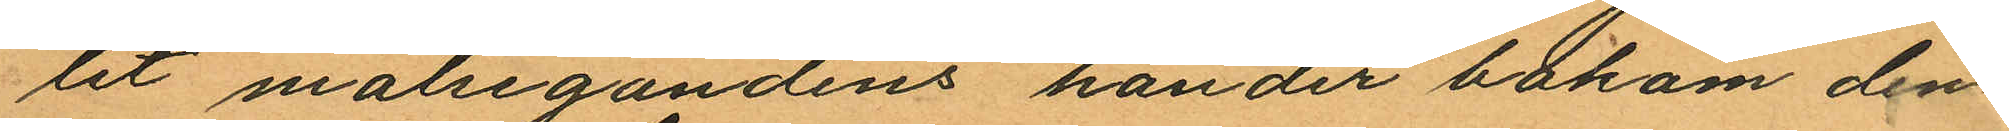lit målsegandens händer bakom den¬
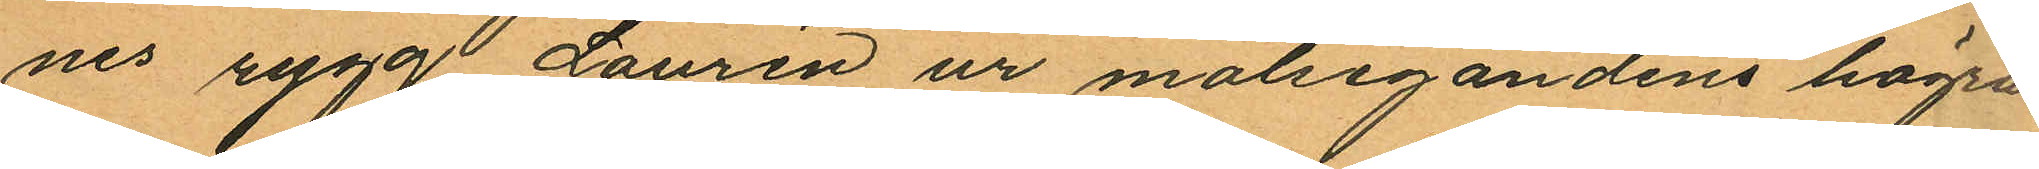nes rygg Laurén ur målsegandens högra
